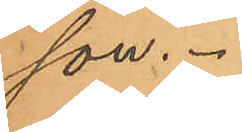son.
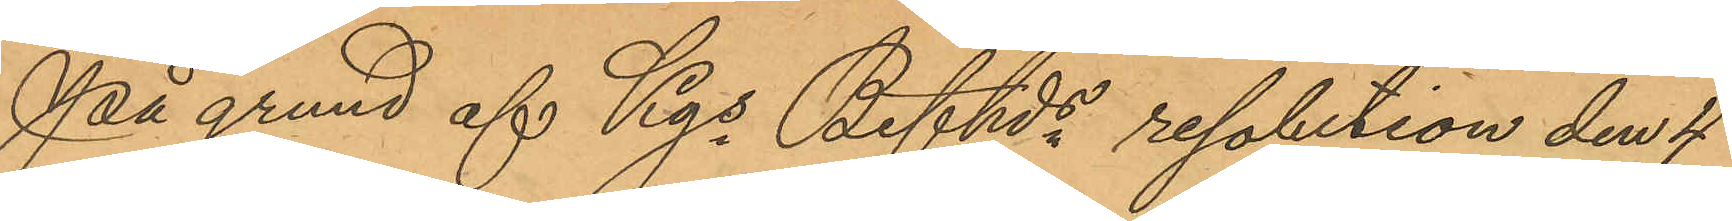På grund af Kgs Befhds resolition den 4
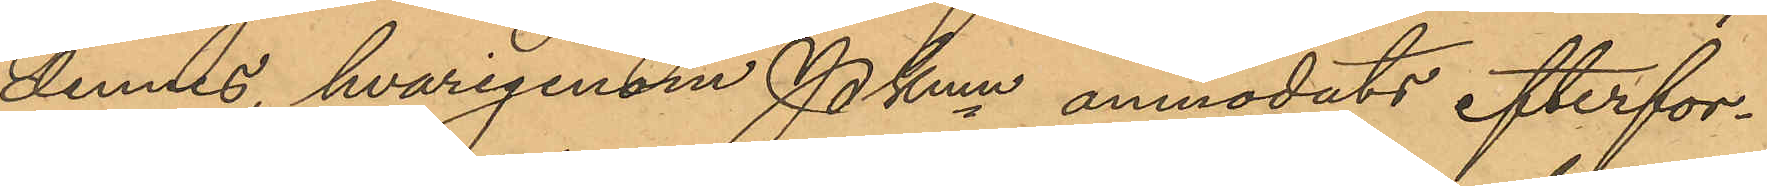dennes, hvarigenom Pkmn anmodats efterfor¬
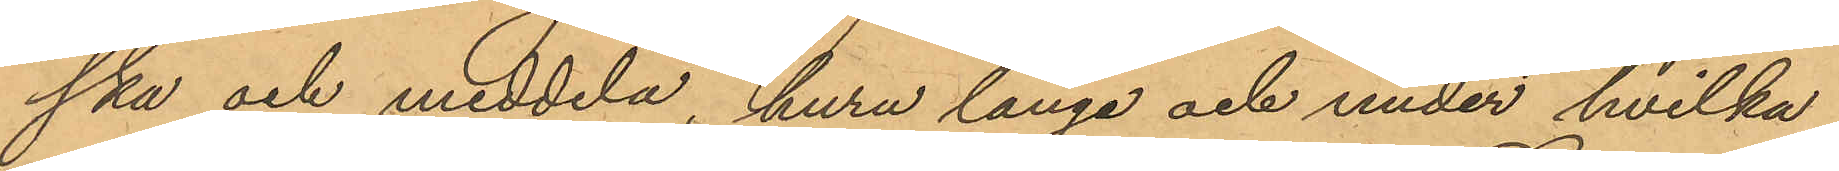ska och meddela, huru långa och under hvilka
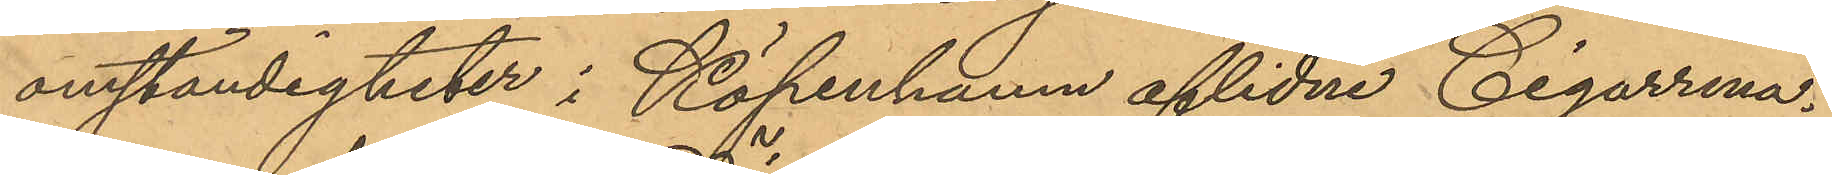omständigheter i Köpenhamn aflidne Cigarrma¬
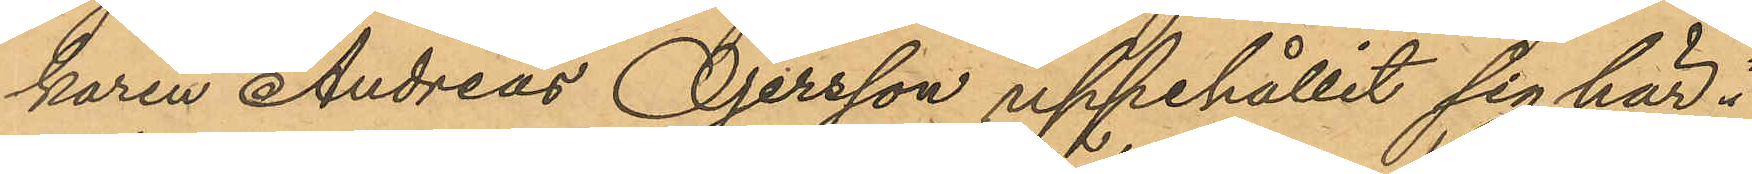karen Andreas Öjersson uppehållit sig här i
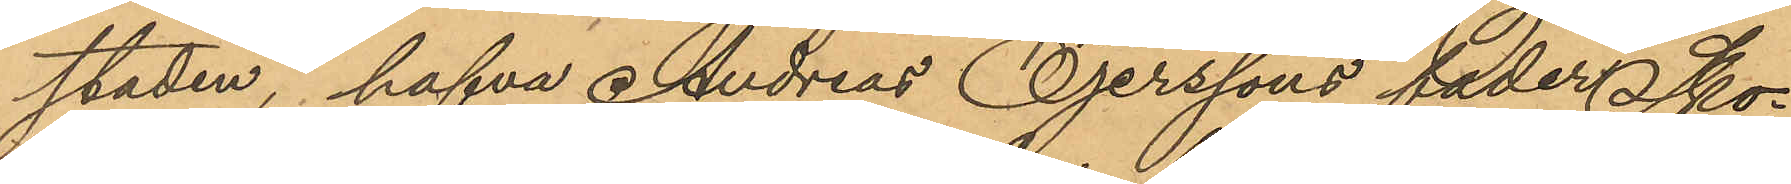staden, hafva Andreas Öjerssons fader Sko¬
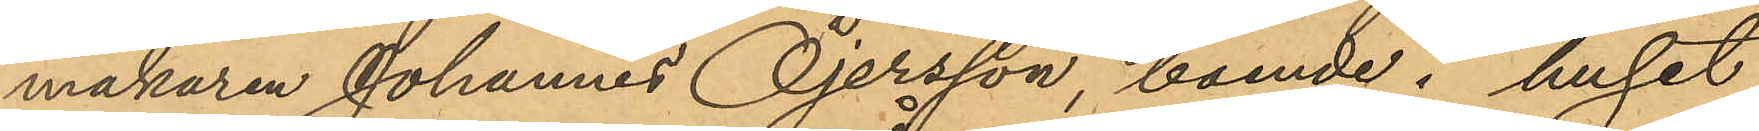makaren Johannes Öjersson, boende i huset
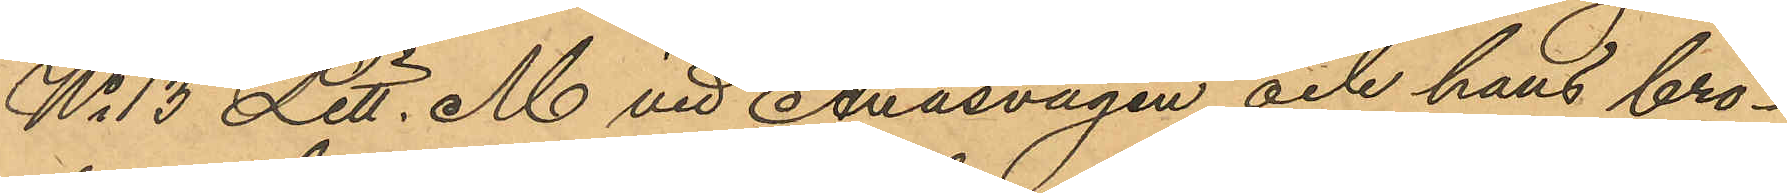No 13 Litt. M. vid Ånäsvägen och hans bro¬
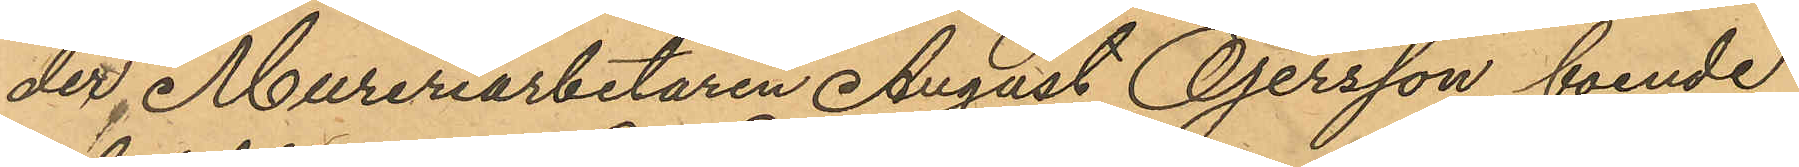der Mureriarbetaren August Öjersson, boende
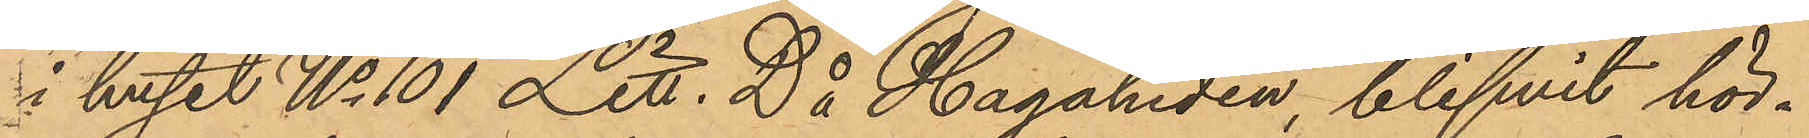i huset No 101 Litt. D å Hagaheden blifvit hör¬
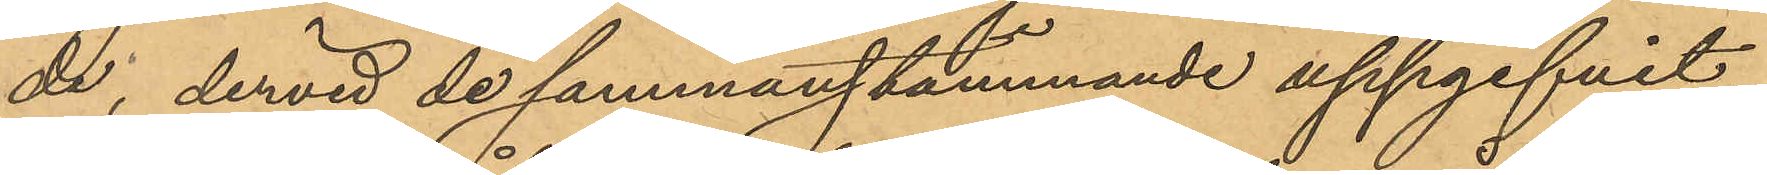de, dervid de sammanstämmande uppgifvit
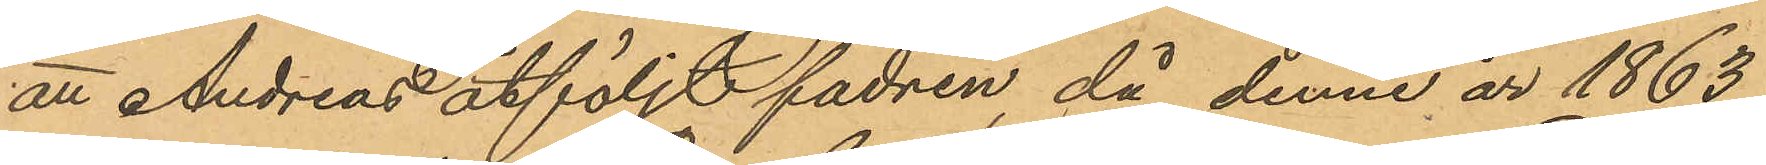att Andreas åtföljt fadren, då denne år 1863
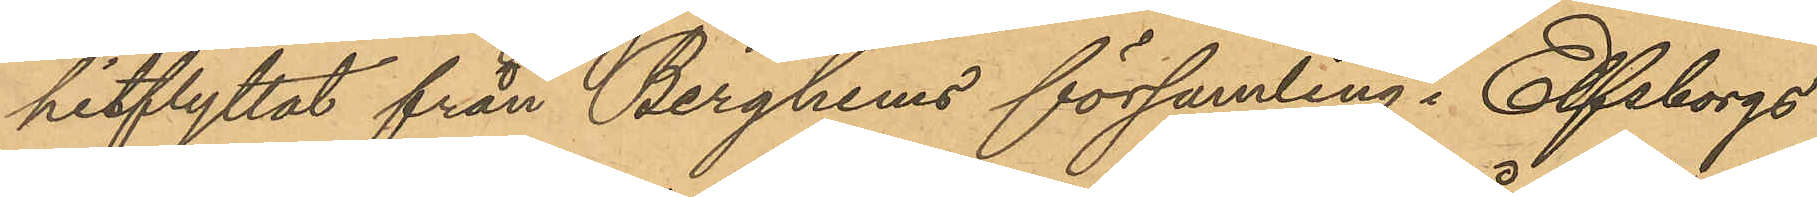hitflyttat från Berghems församling i Elfsborgs
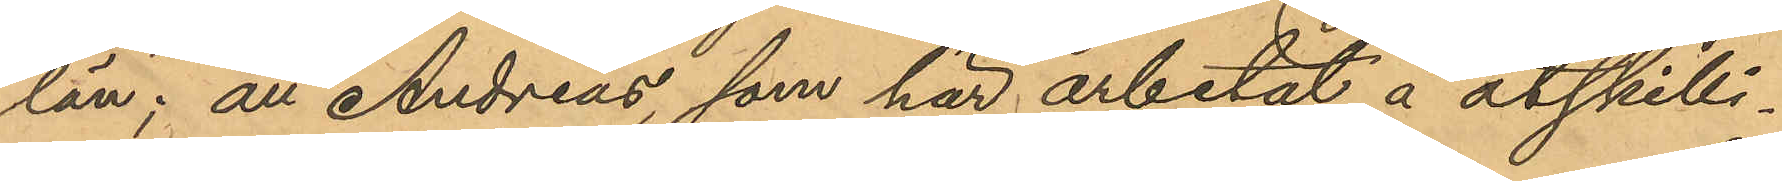län; att Andreas, som här arbetat å åtskilli¬
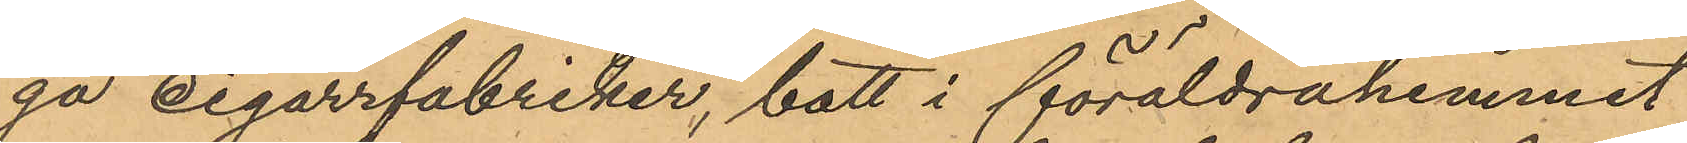ga cigarrfabriker, bott i föräldrahemmet
